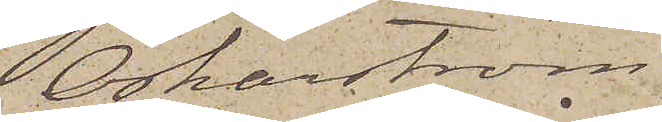Oskarström
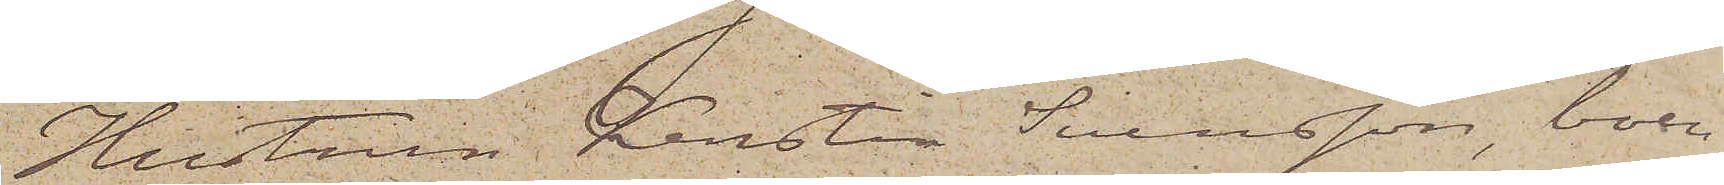Hustrun Kerstin Svensson, boen¬
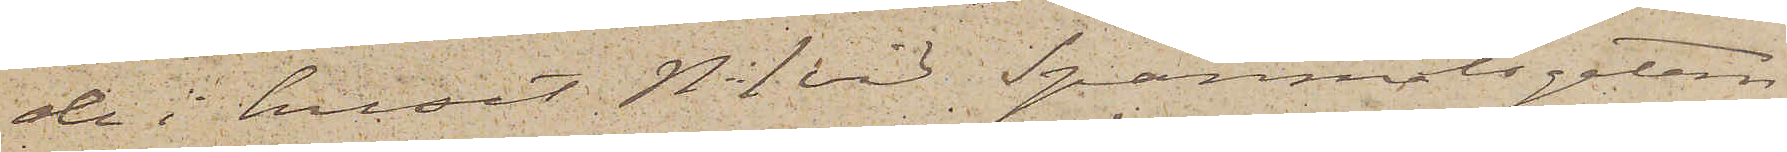de i huset No 1 vid Spanmålsgatan,
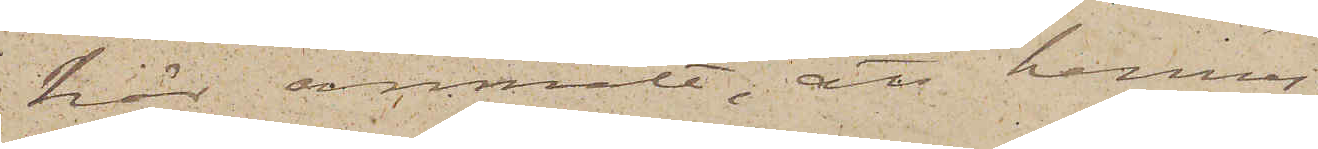här anmält, att hennes
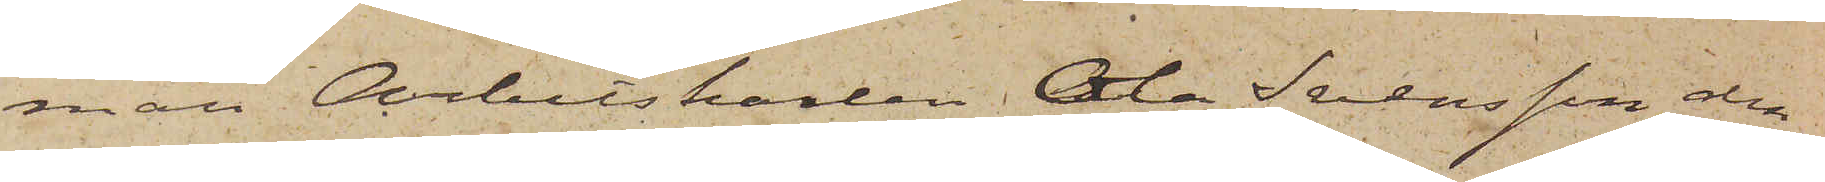man Arbetskarlen Ola Svensson den
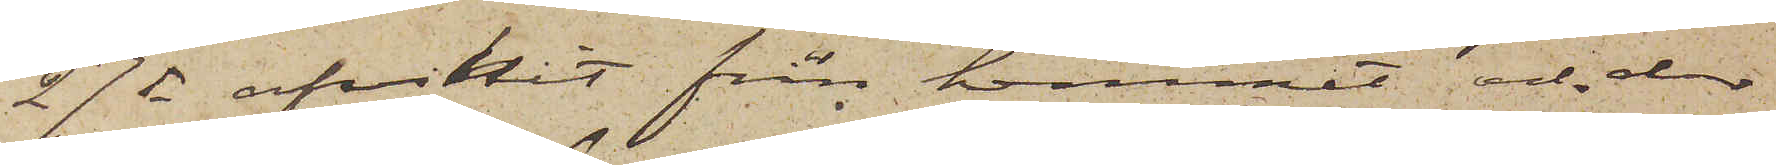27 ds afvikit från hemmet och der
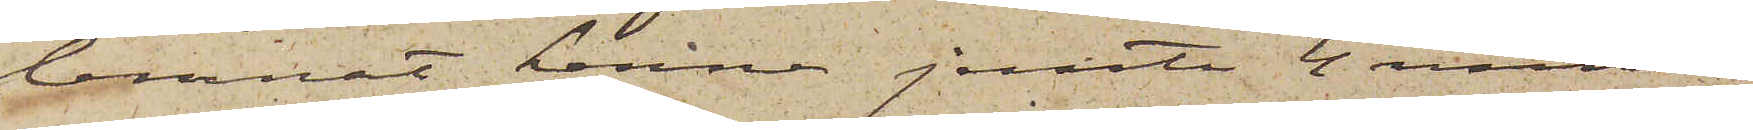lemnat henne jemte 4 minder¬
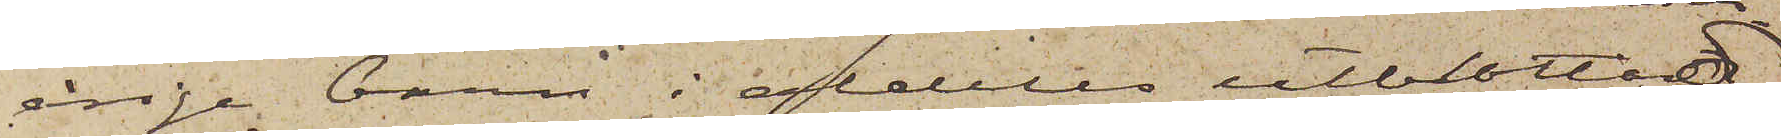årige barn i aldeles utblottad
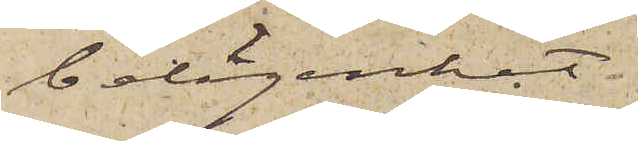belägenhet
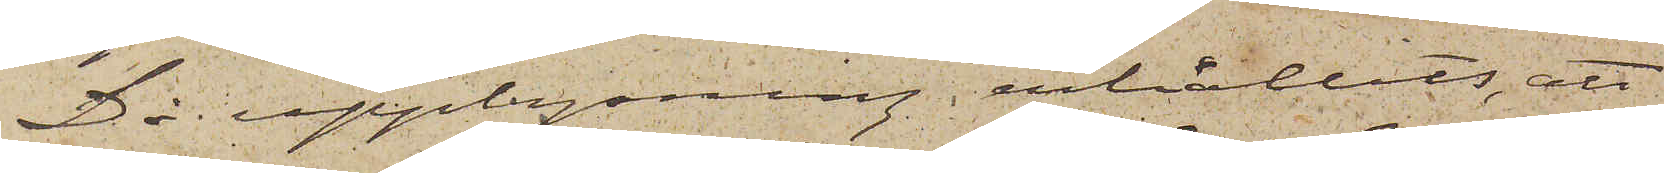Då upplysning erhållits, att
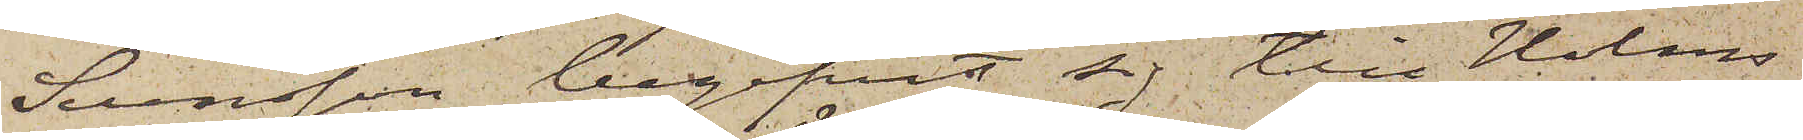Svensson begifvit sig till Holms
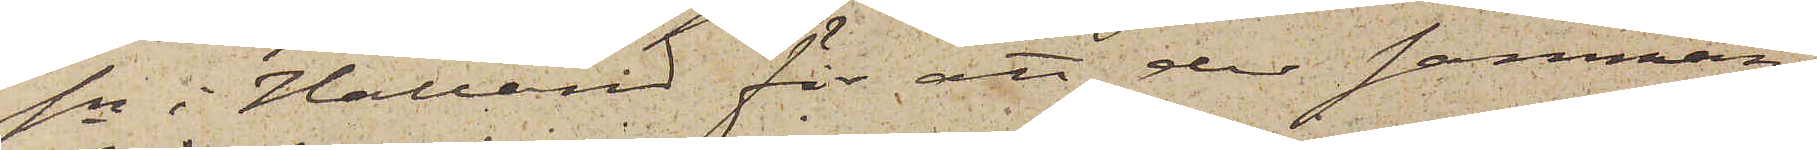sn i Halland för att der samman¬
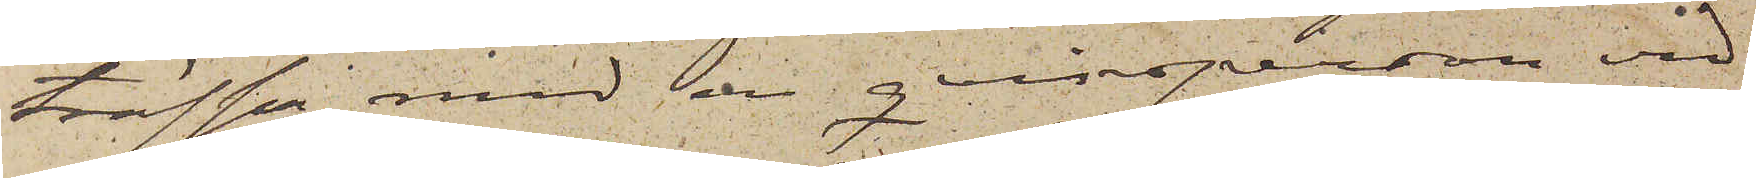träffa med en qvinsperson vid
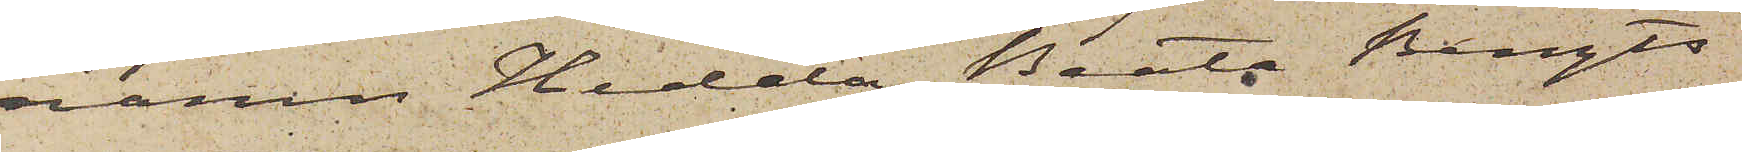namn Hedda Beata Bengts¬
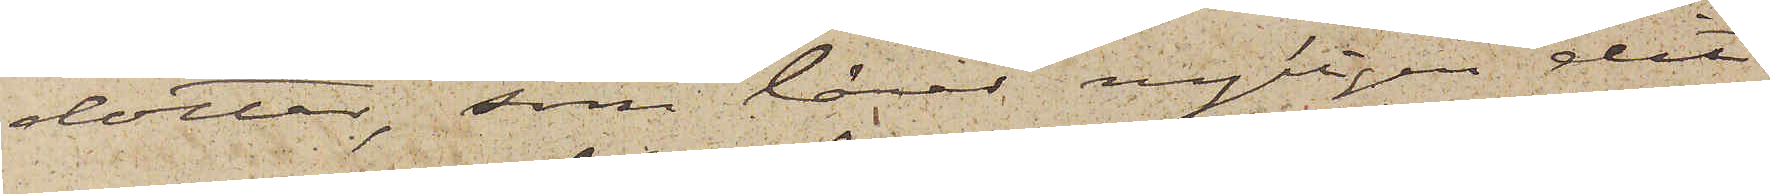dotter, som lärer nyligen dit
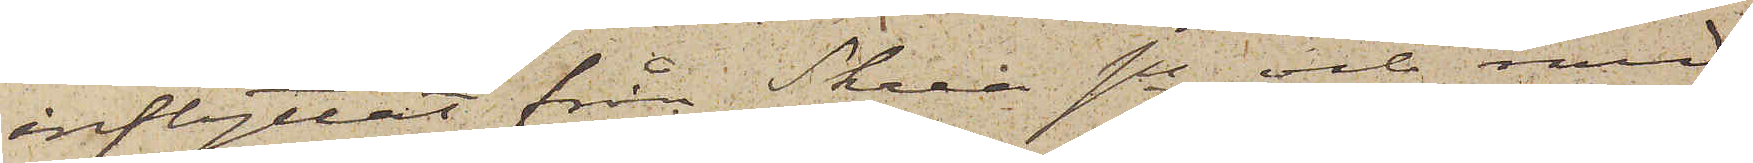inflyttat från Skrea sn och med
